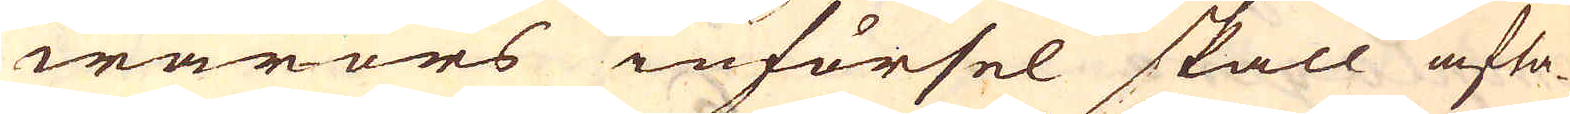warors införsel skall afta-
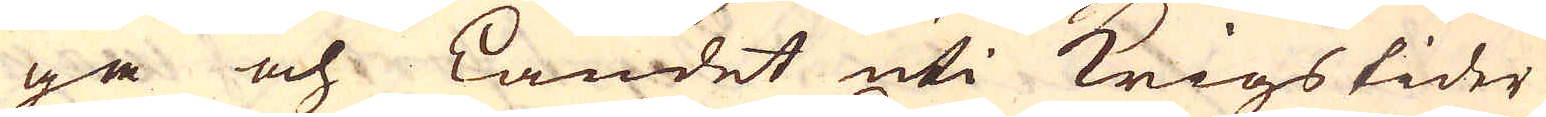ga och Landet uti Krigstider
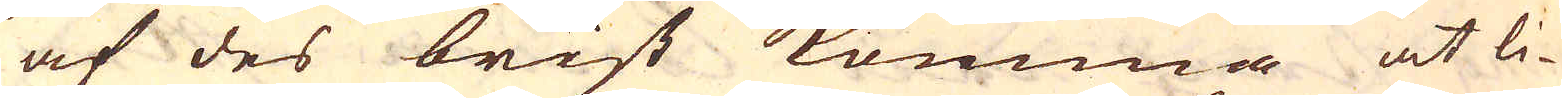af des brist komma at li-
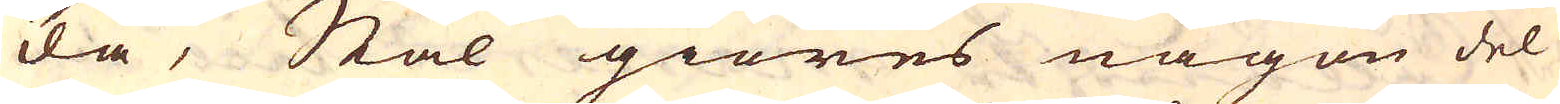da, Stål giöres någon del
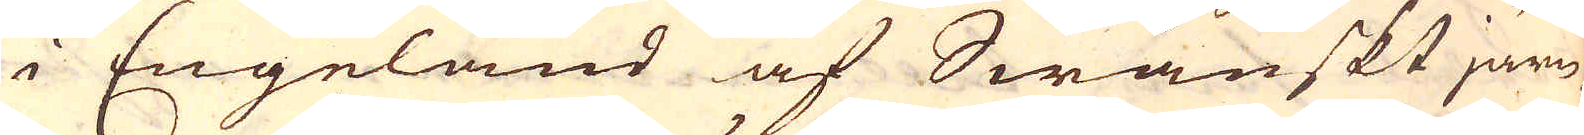i Engeland af Swänskt järn
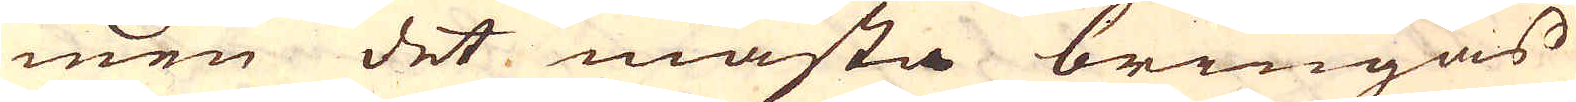men det mästa bringas
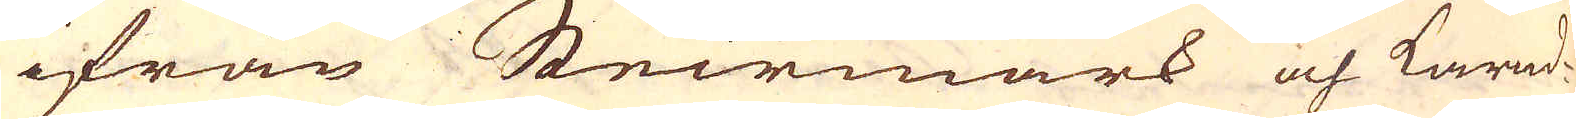ifrån Steirmark och Karnd-
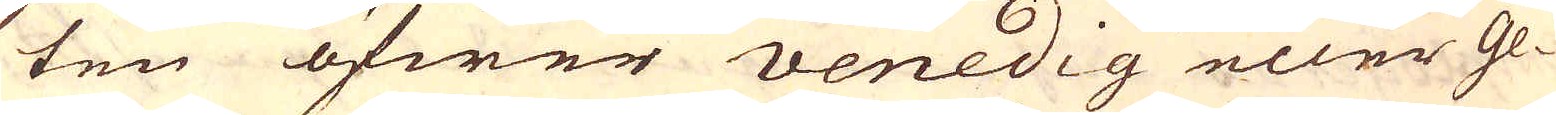ten öfwer Venedig eller Ge-
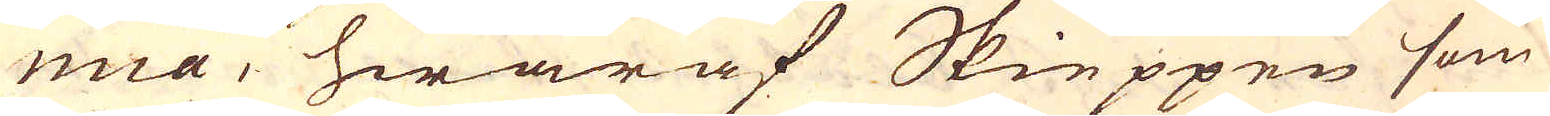nua, hwaraf Skieppen som
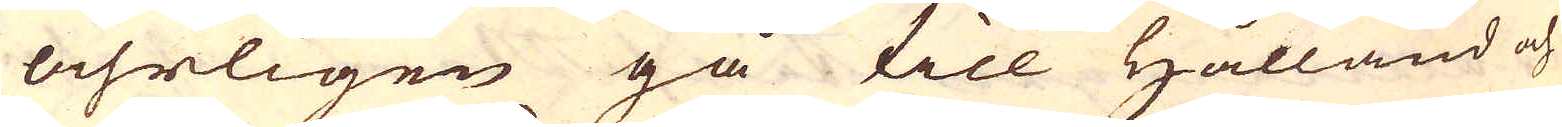åhrligen gå till Hålland och
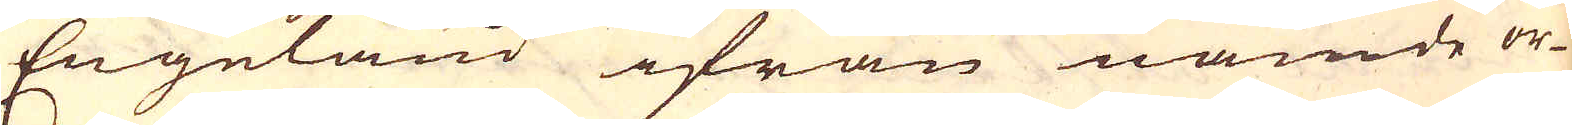Engeland ifrån nämde or-
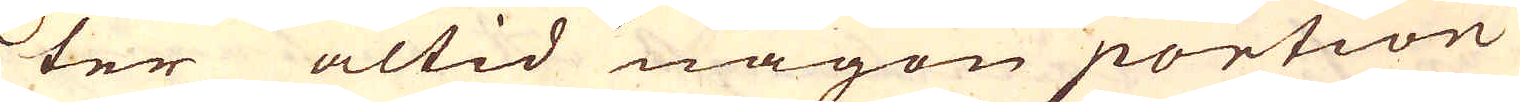ter altid någon portion
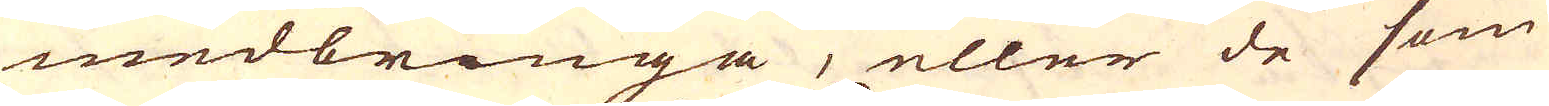medbringa, eller de som
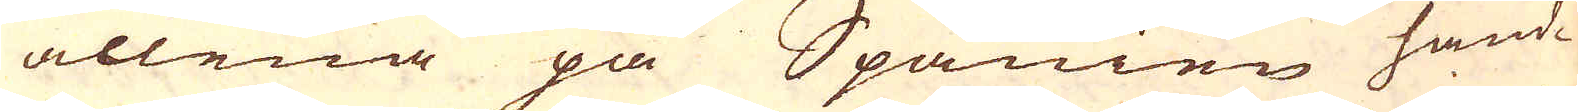allena på Spanien hand-
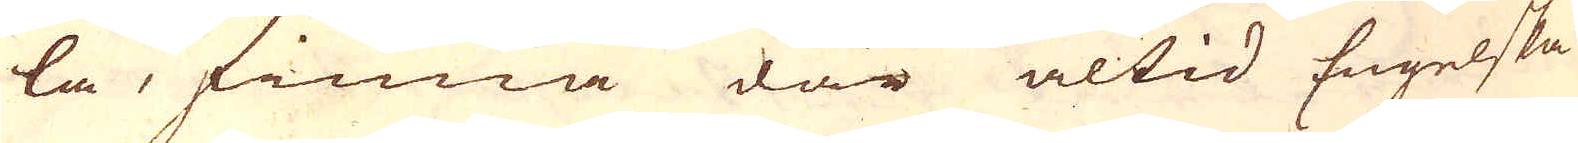la, finna där altid Engelska
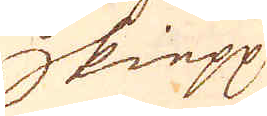Skiepp
